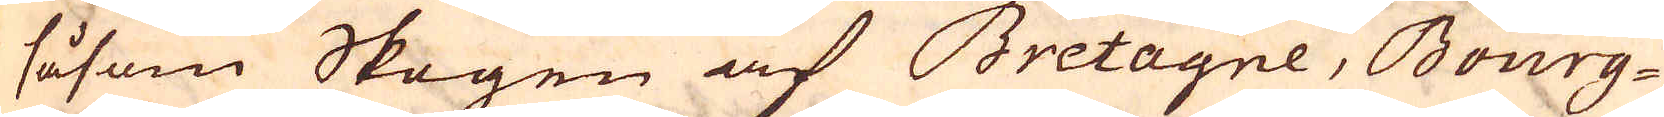såsom Skogen af Bretagne, Bourg-
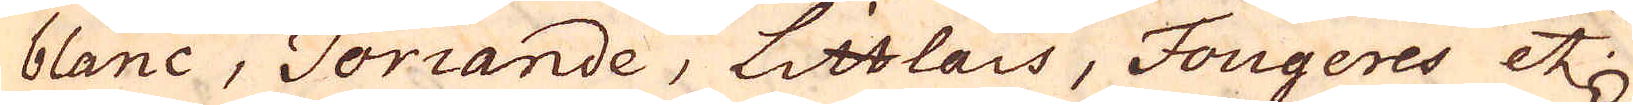blanc, Toriande, Littlais, Fougeres etc.
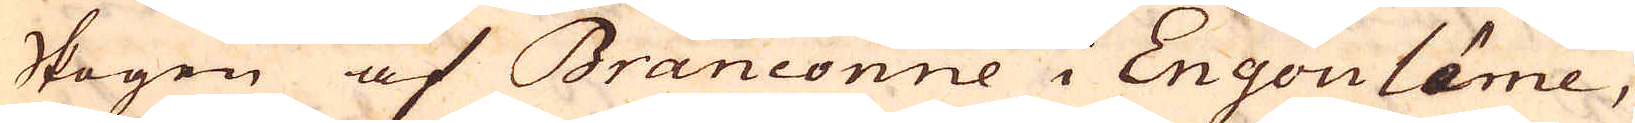Skogen af Branconne i Engoulâme,
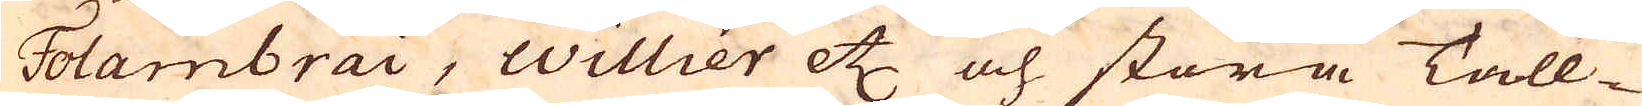Folambrai, Willier etc och stora Tall-
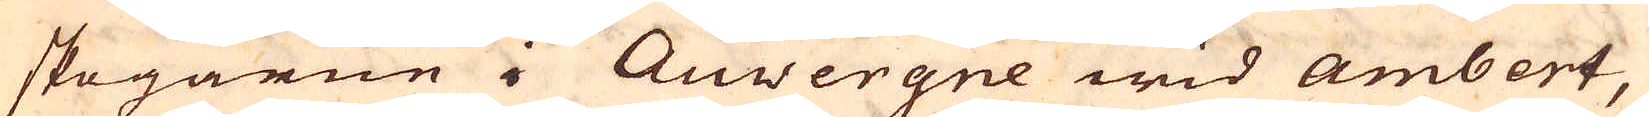skogarne i Auvergne wid Ambert,
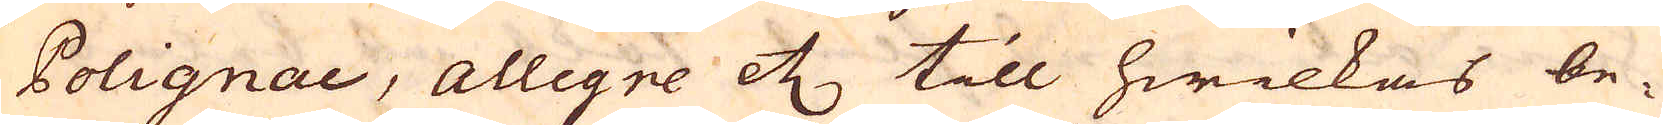Polignac, Allegne etc till hwilkas be-
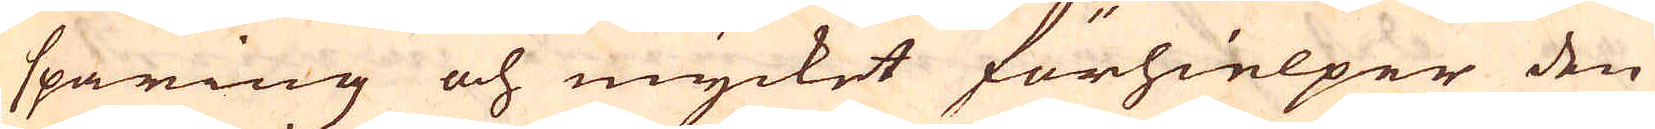sparing och mycket förhielper den
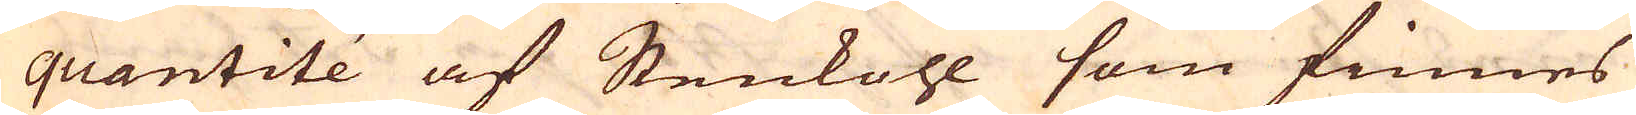quantité af Stenkohl som finnes
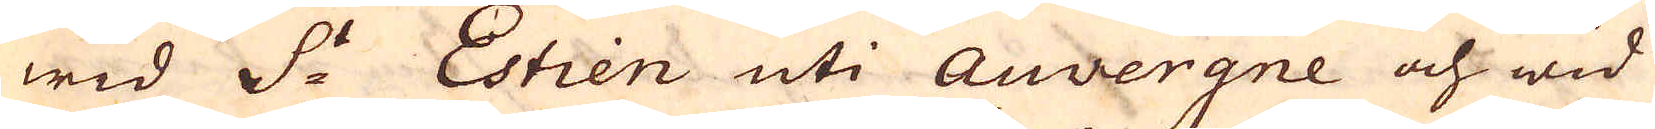wid S:t Estien uti Auvergne och wid
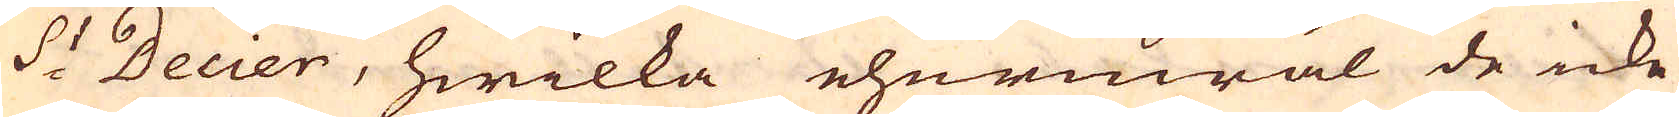S:t Decier, hwilka ehuruwäl de icke
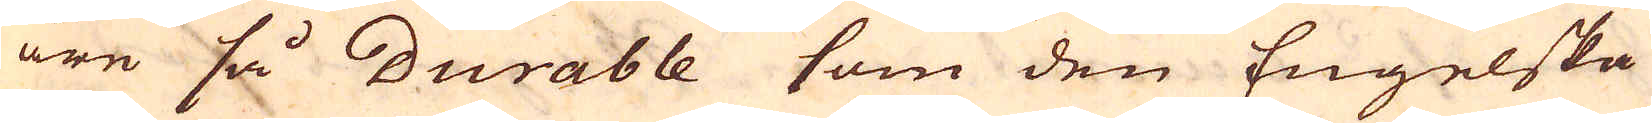äre så durable som den Engelska
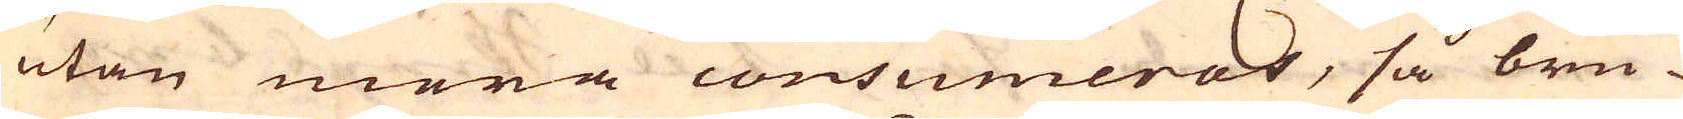utan mera consumeras, så bru-
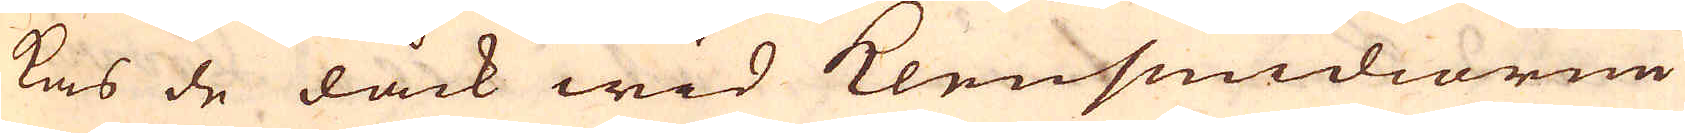kas de dåck wid klensmidiorne
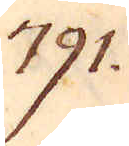791.
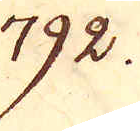792.
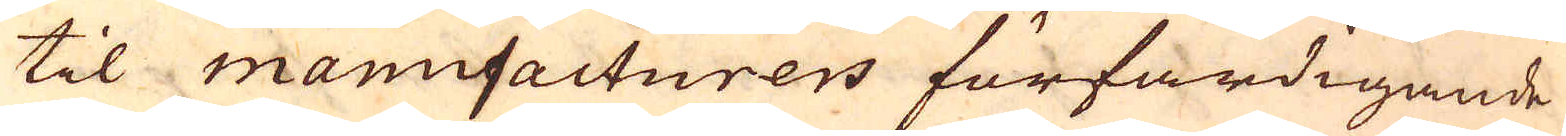til manufacturers förfärdigande
